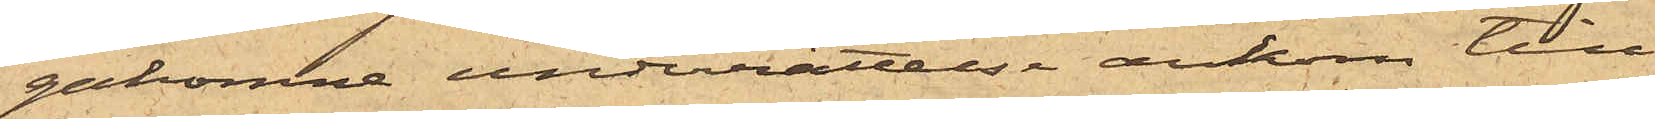gakomne underrättelse ankom till
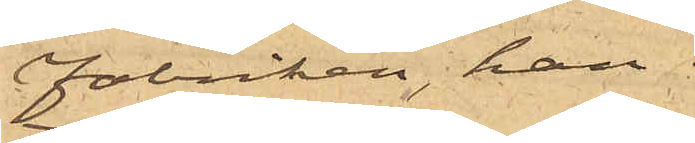Fabriken, han
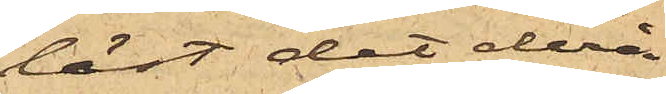läst det derå
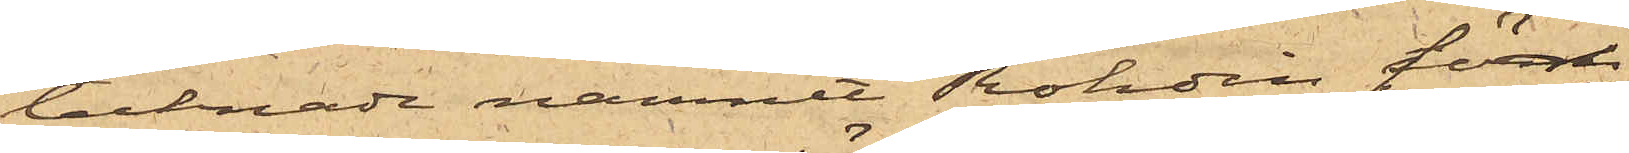tecknade namnet Rohdin först
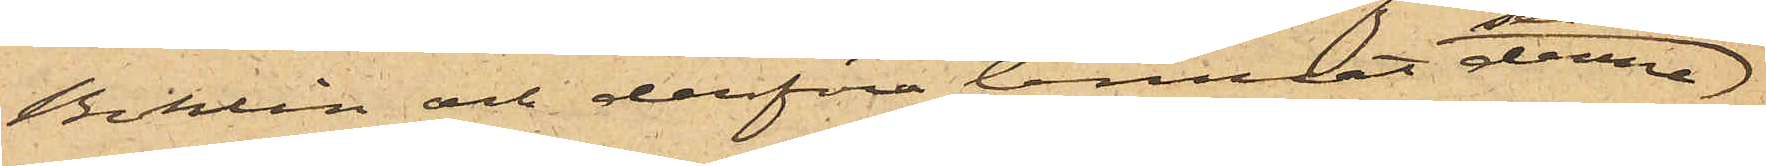Bohlin och derföre lemnat denne
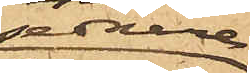senare
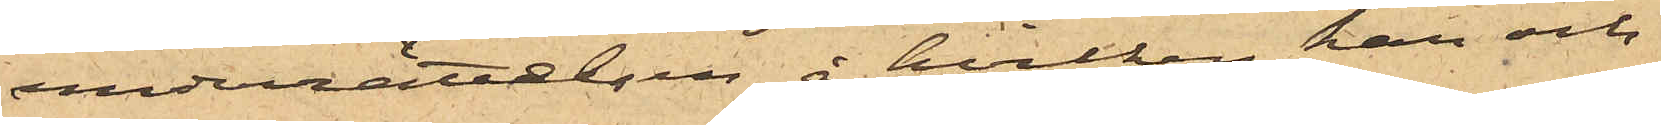underrättelsen, å hvilken han och
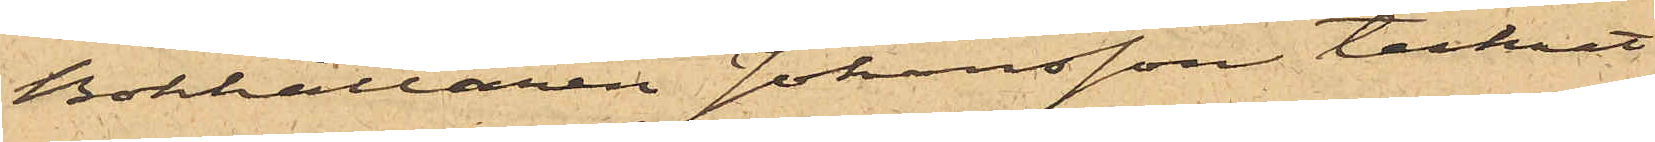Bokhållaren Johansson tecknat
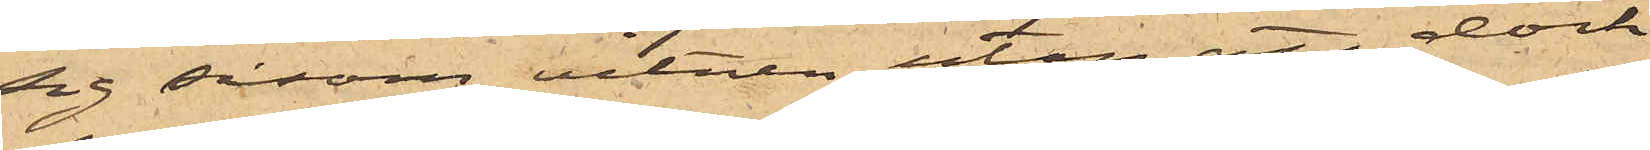sig såsom vitnen, utan att dock
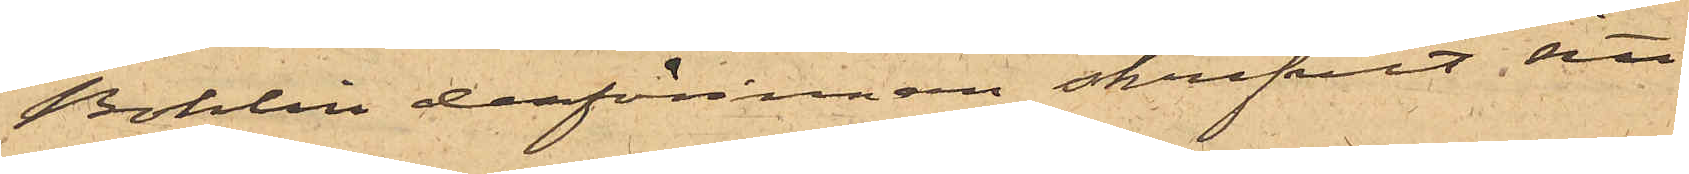Bohlin dessförinnan skrifvit sitt
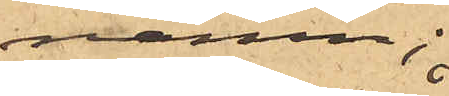namn;
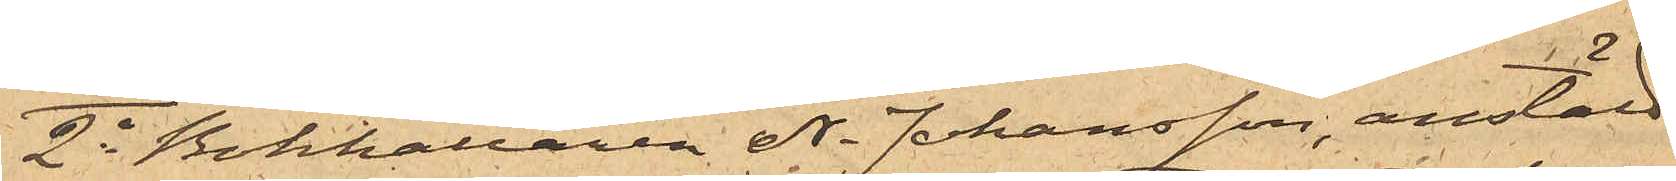2o Bokhållaren A. Johansson, anstäld
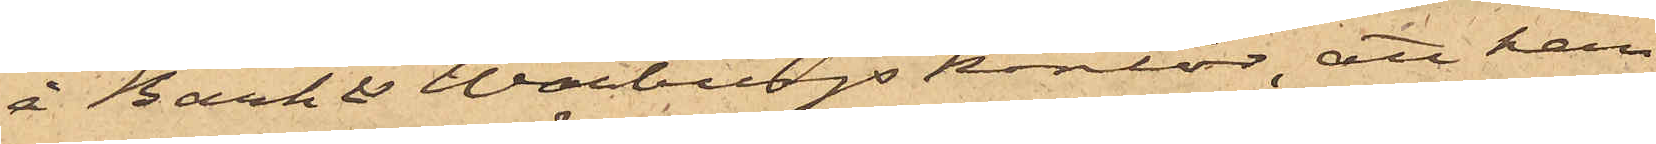å Bark & Warburgs kontor, att han
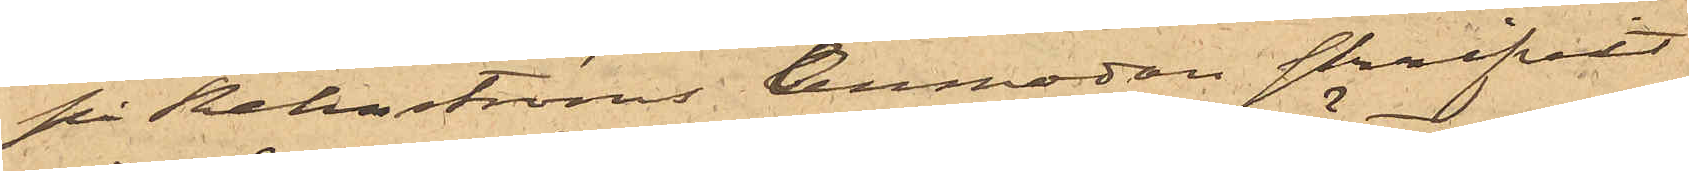på Rehnströms Anmodan skrifvit
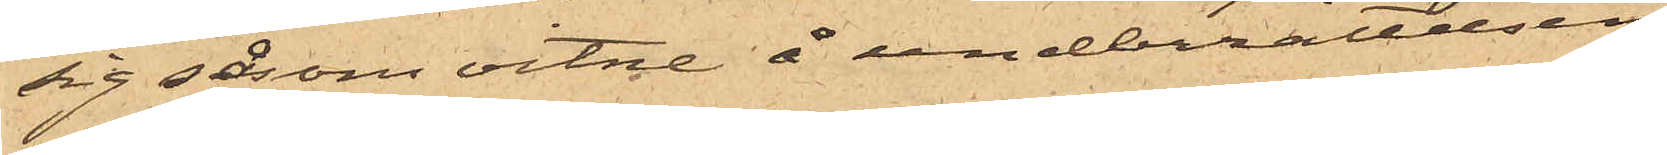sig såsom vitne å underrättelsen,
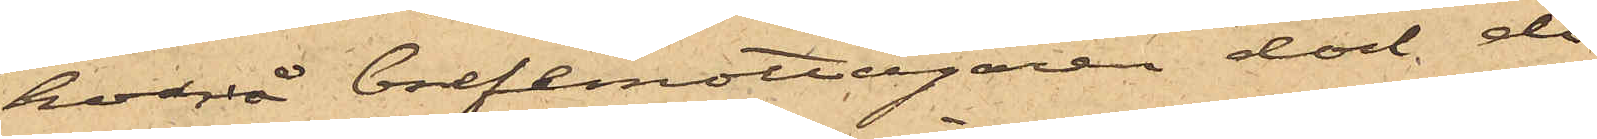hvarå Brefemottagaren dock då
